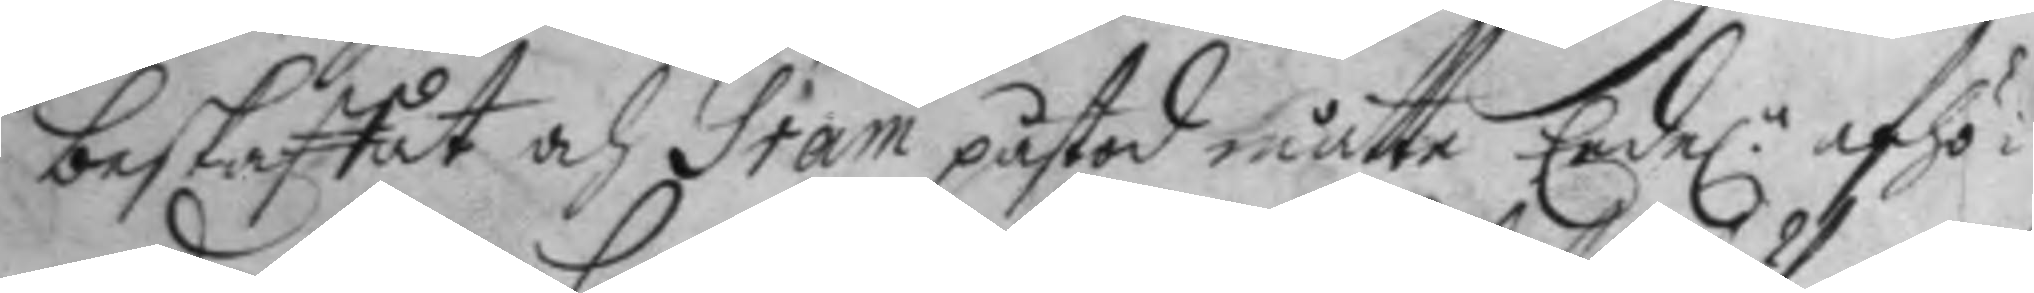beskaffat och Gram påstod måtte Eede.n afhö¬ 
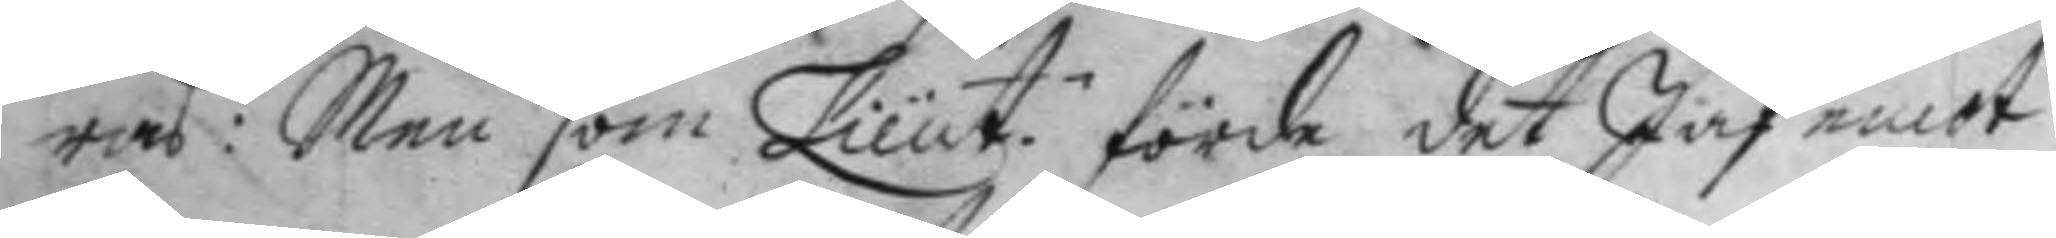ras: Men som Lieut.n förde det Jäf emot
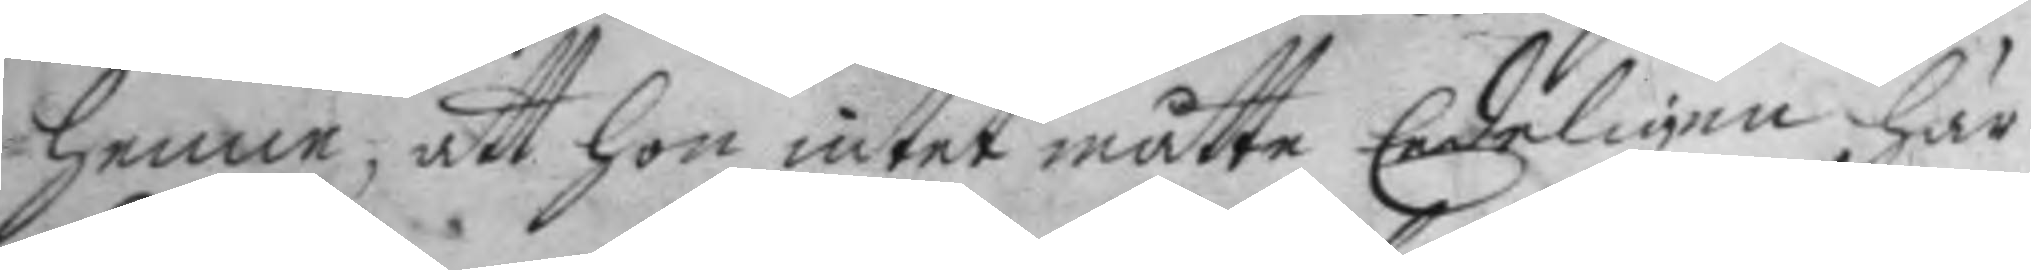henne, att hon intet måtte Eedeligen här
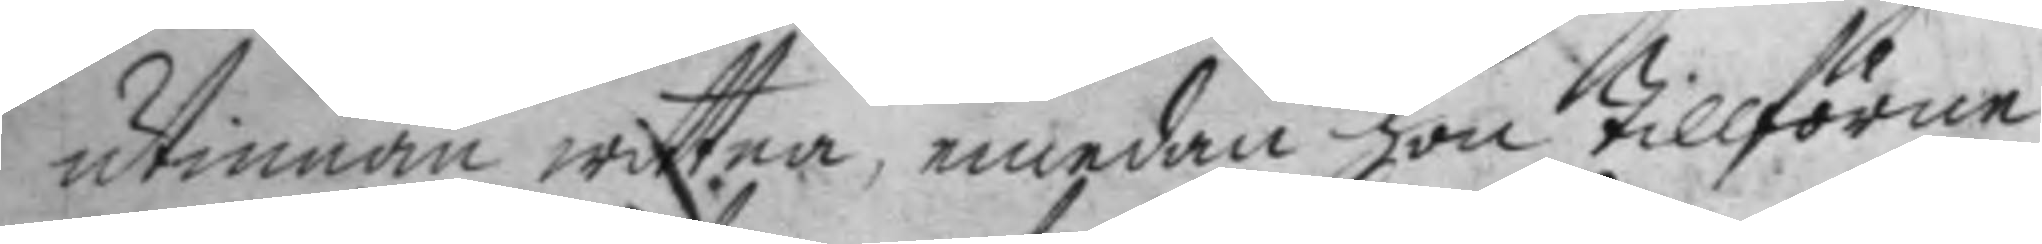utinnan wittna, emedan hon tillförne
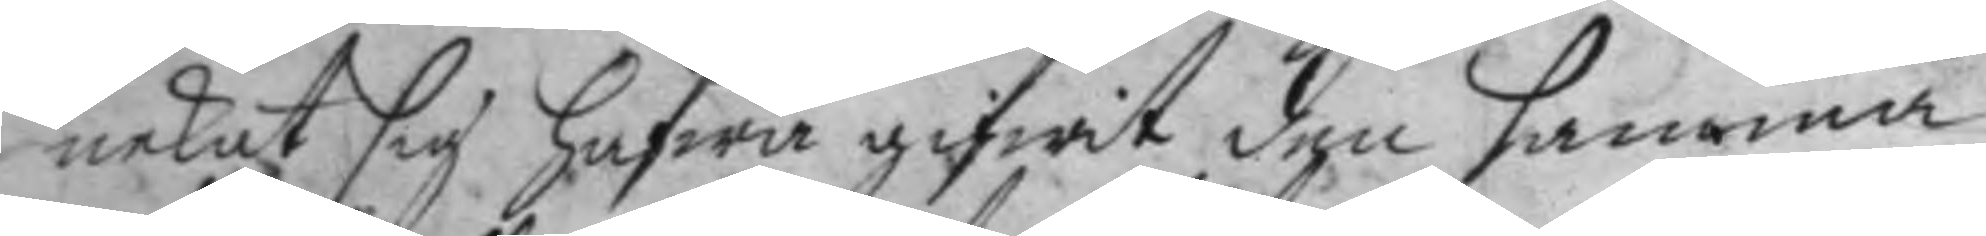nekat sig hafwa gifwit den samma
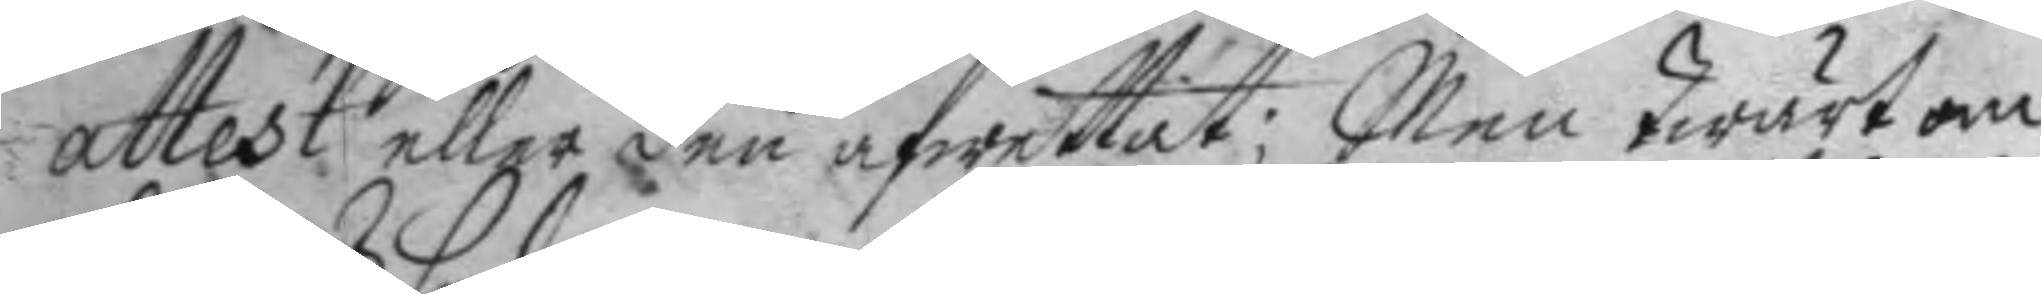attest eller den afwettat; Men twärt om
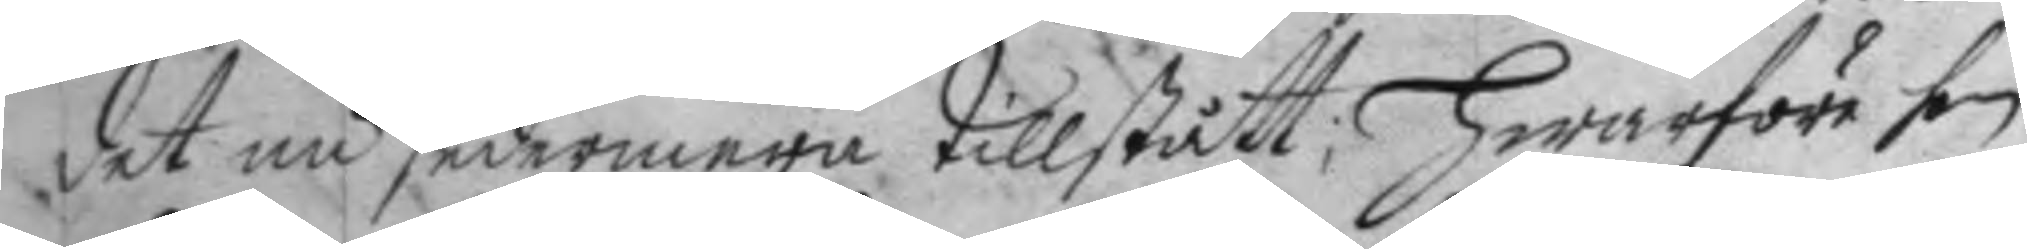det nu sedermera tillstått, Hwarföre hon
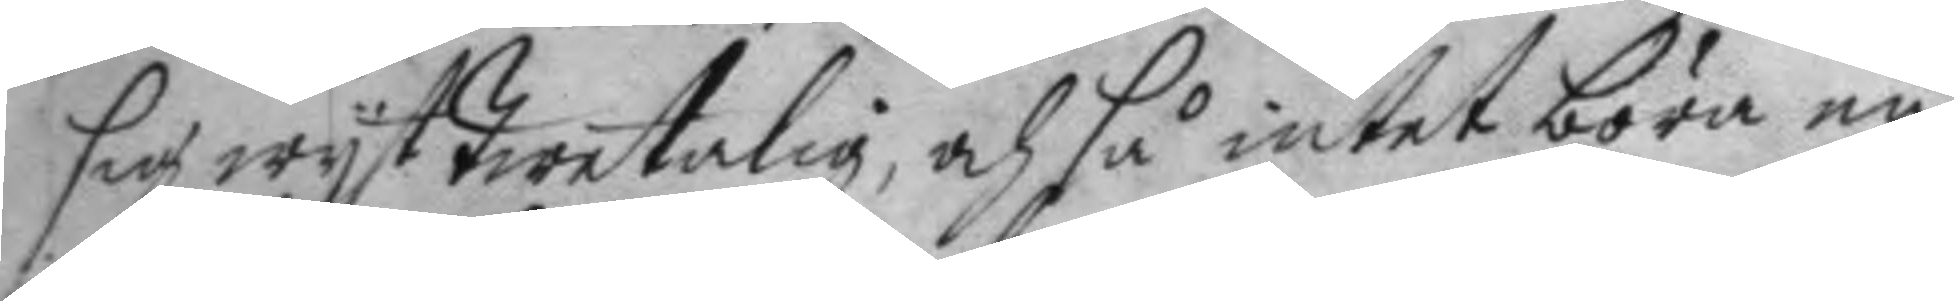sig wist twetalig, och så intet böra nu
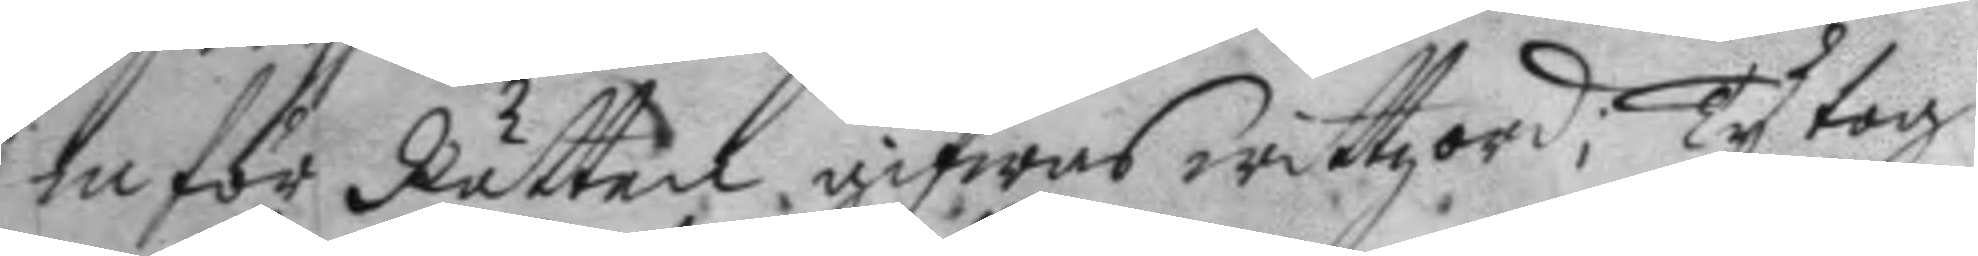inför Rätten gifwas wittzord; Ty tog
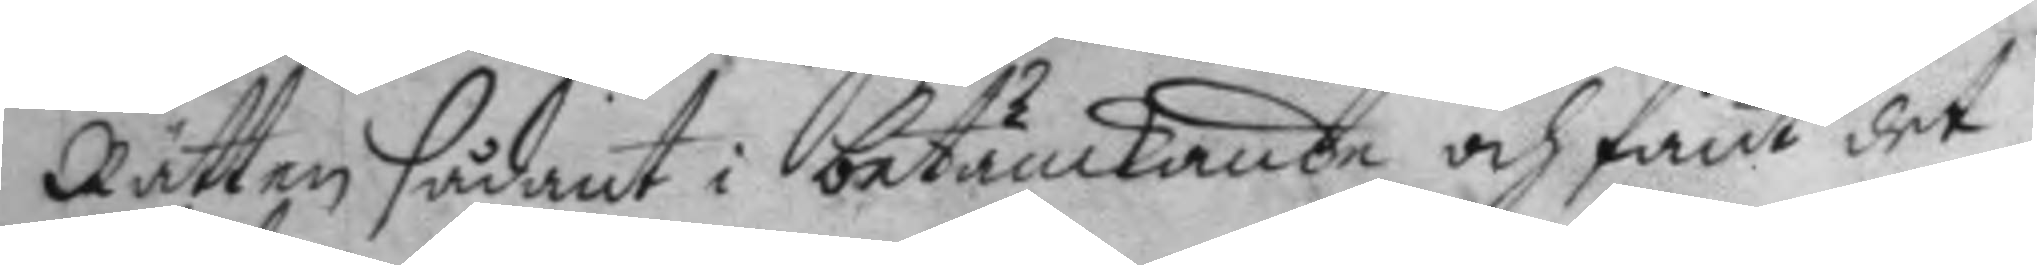Rätten sådant i betänckande och fant det
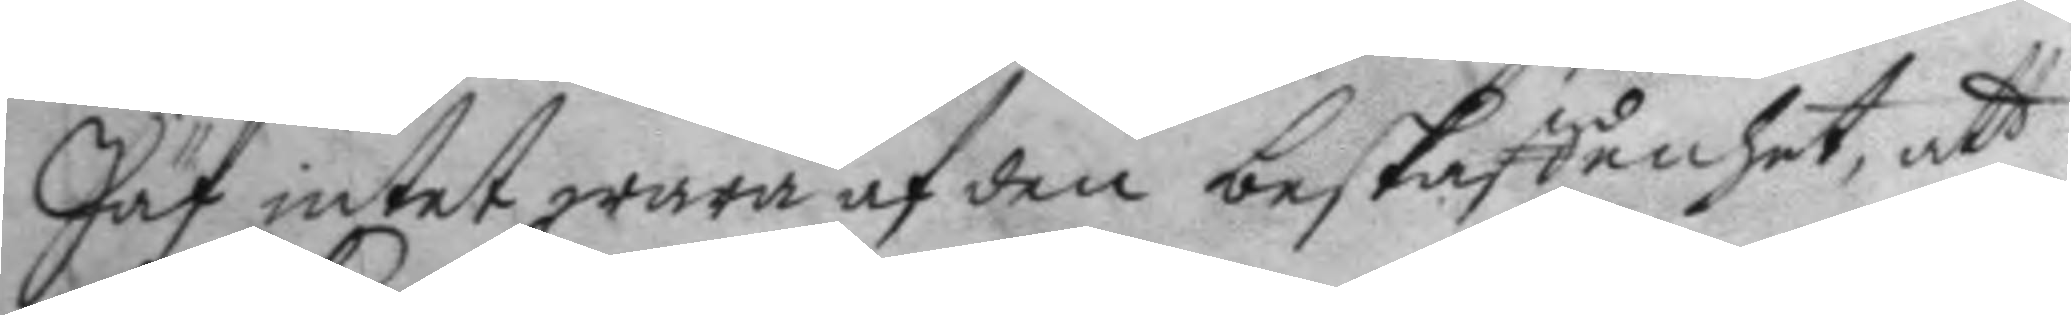Jäf intet wara af den beskaffenhet, att
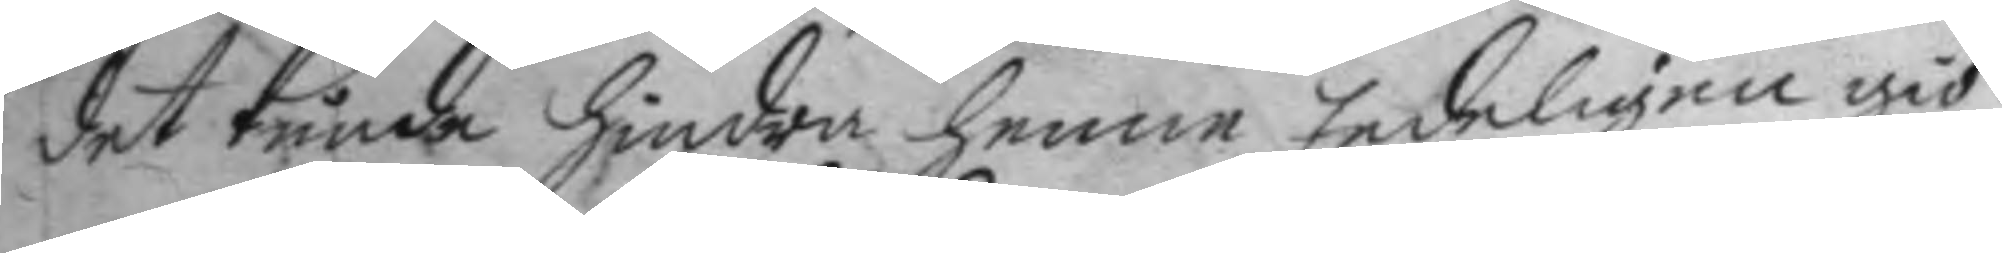det kunde hindra henne Eedeligen giö¬
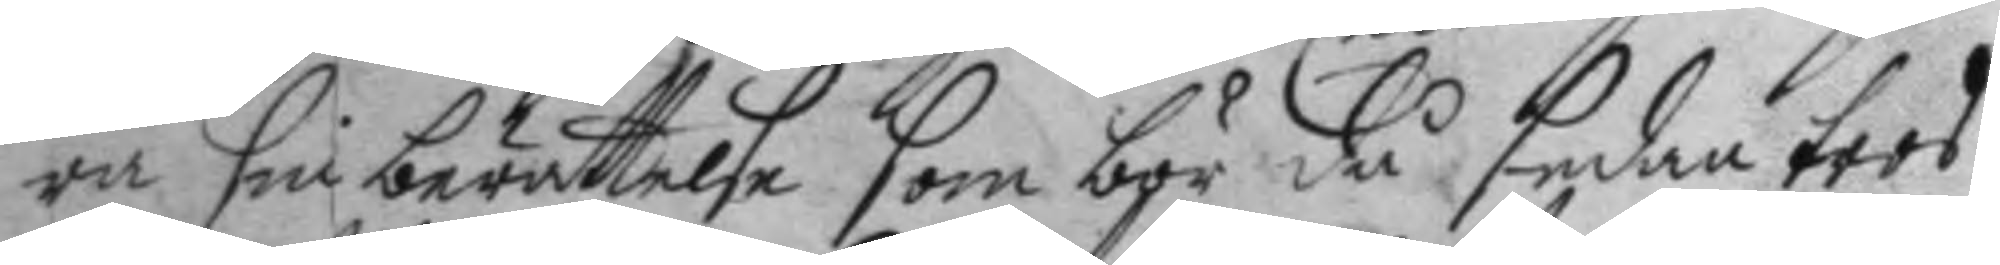ra sin berättelse som bör då sedan tros
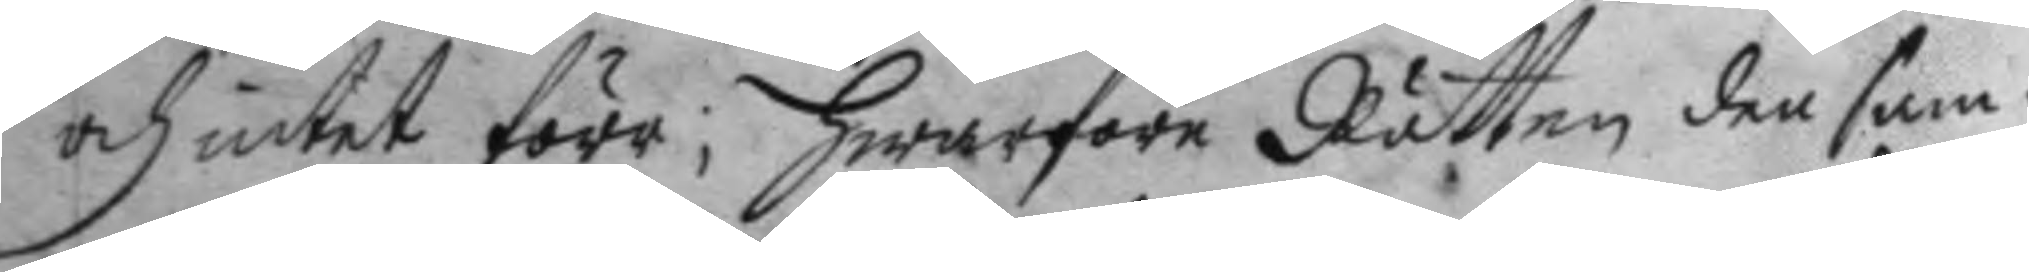och intet förr; hwarföre Rätten den sam¬
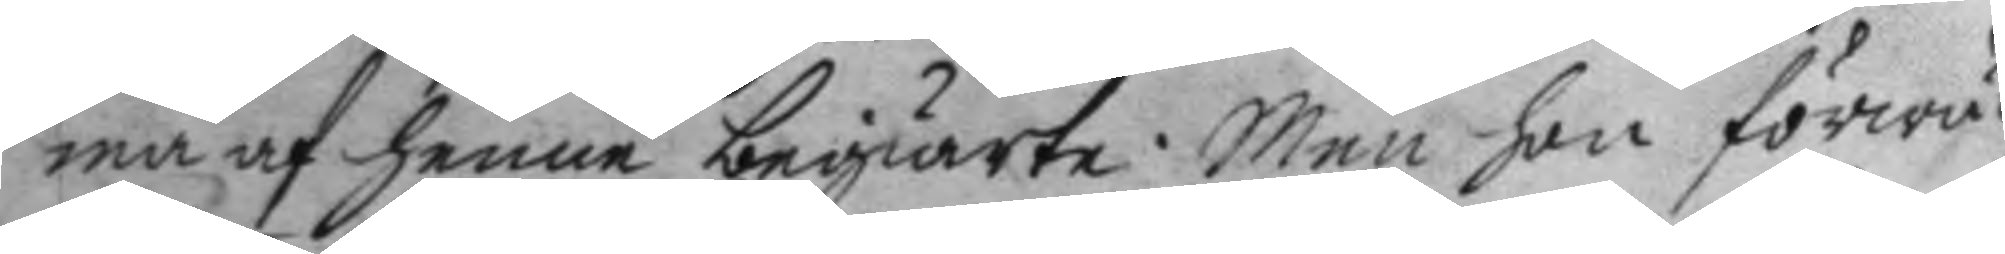ma af henne begiärte: Men hon förwä¬
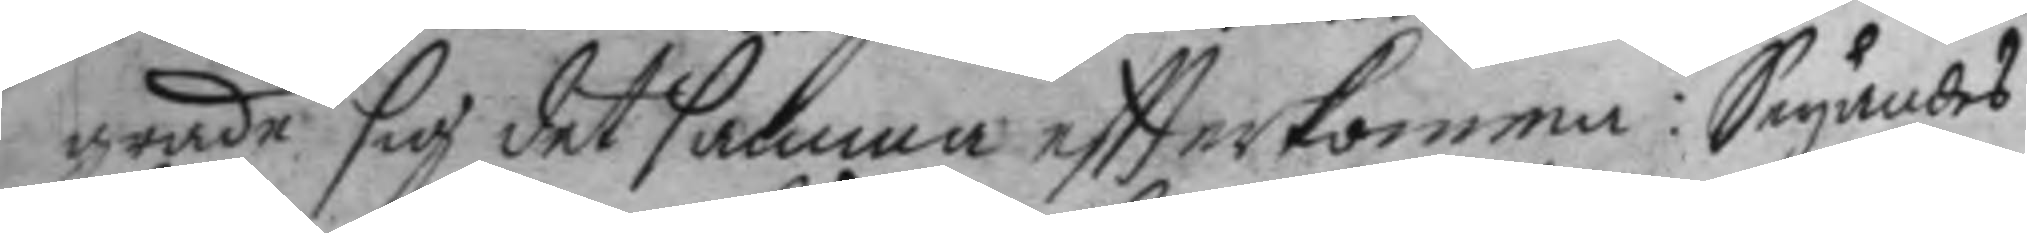grade sig det samma eftterkomma: Seyandes
